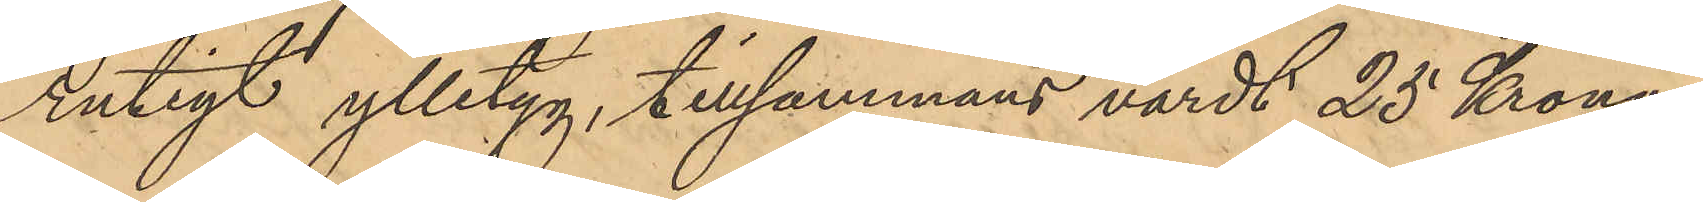rutigt ylletyg, tillsammans värdt 25 Kronor.
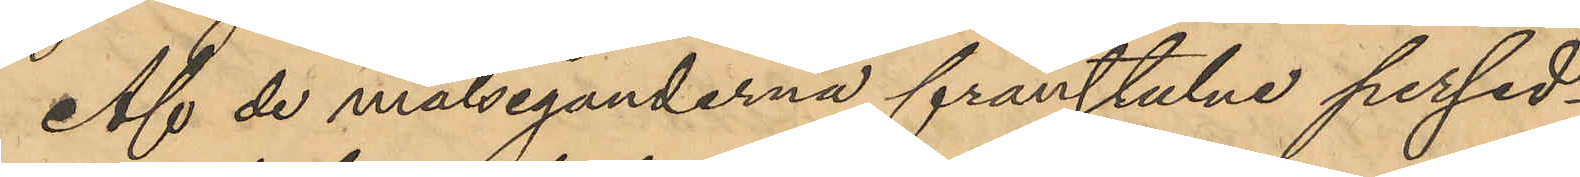Af de målseganderna frånstulne persed¬
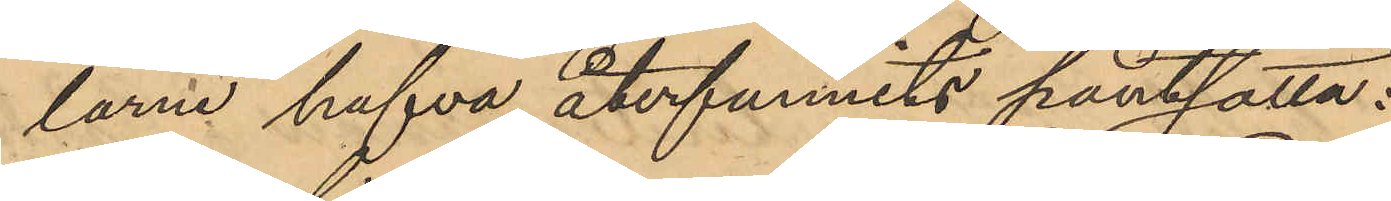larne hafva återfunnits pantsatta:
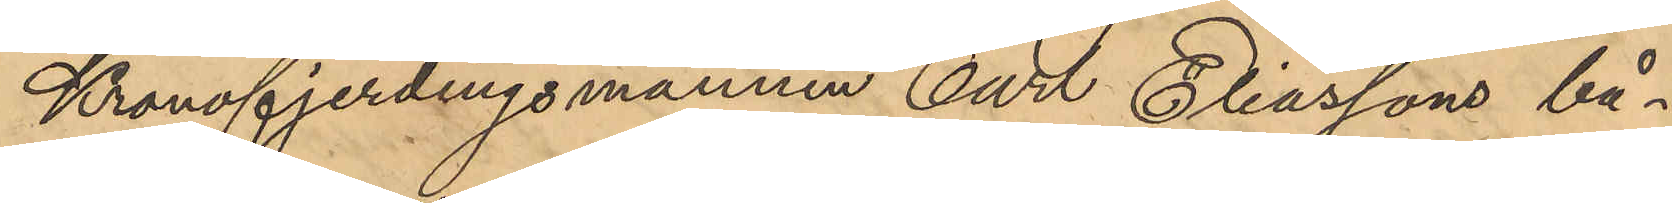Kronofjerdingsmannen Carl Eliassons bå¬
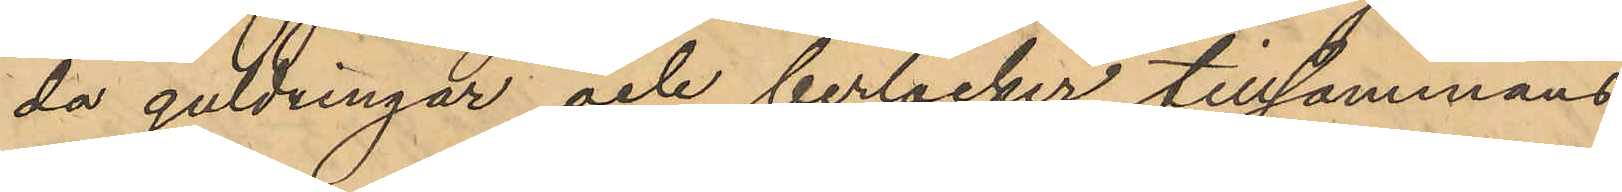da guldringar och berlocker tillsammans
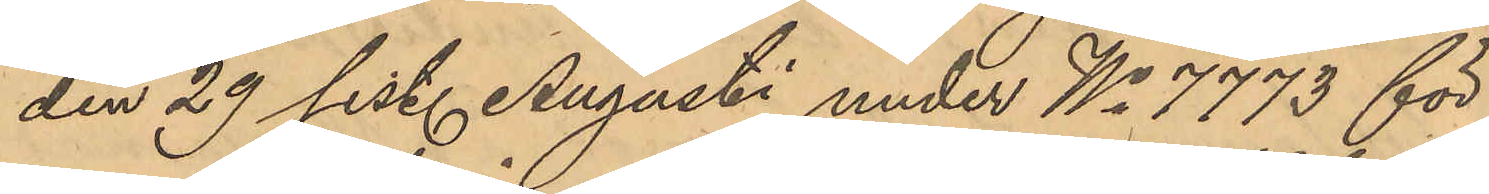den 29 sist. Augusti under No 7773 för
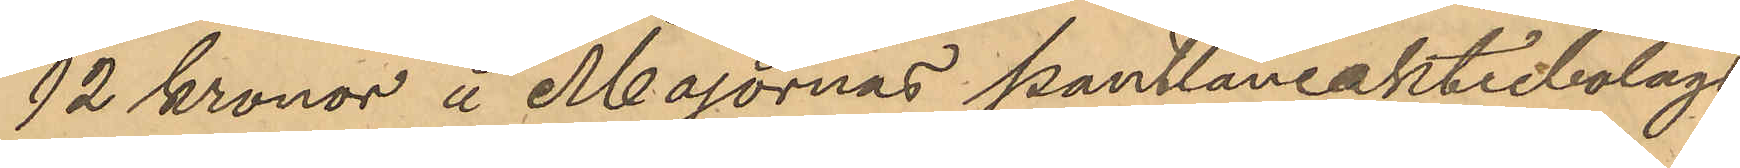12 kronor å Majornas pantlåneaktiebolags
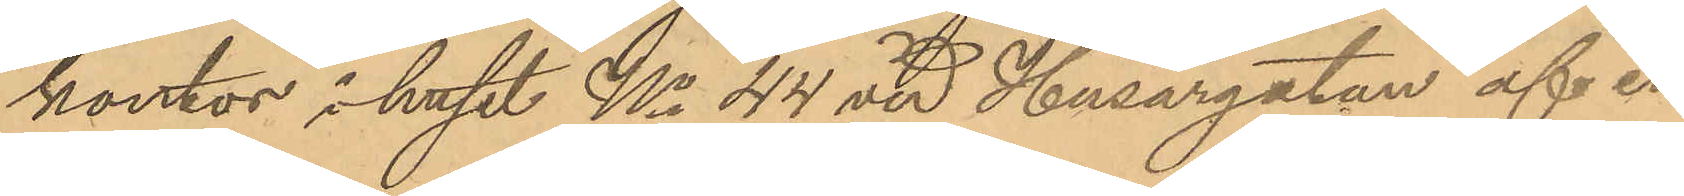kontor i huset No 44 vid Husargatan af en
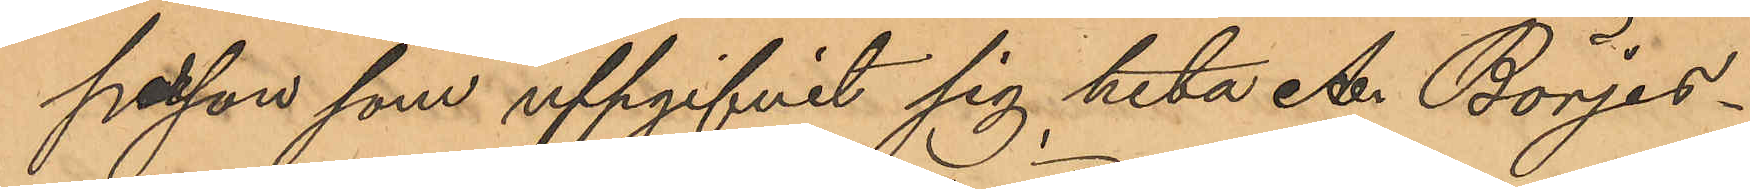person som uppgifvit sig heta A. Börjes¬
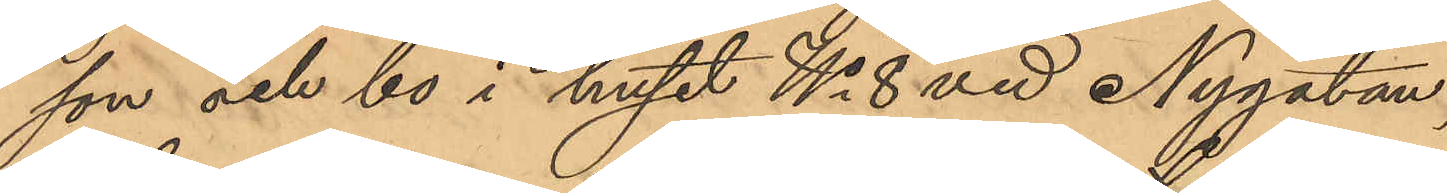son och bo i huset No 8 vid Nygatan,
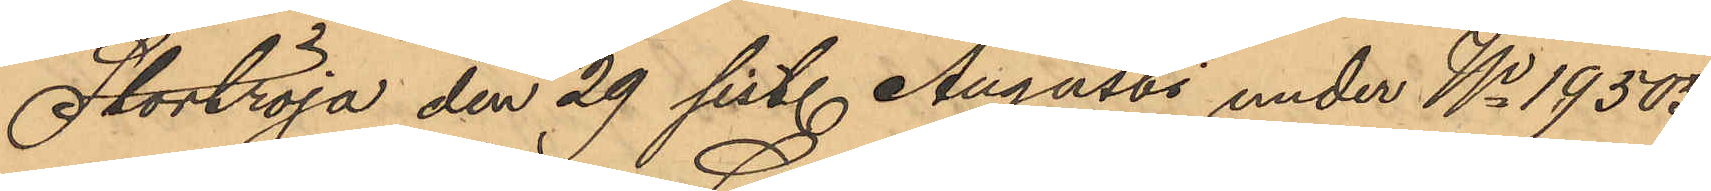Stortröja den 29 sist. Augusti under No 19505
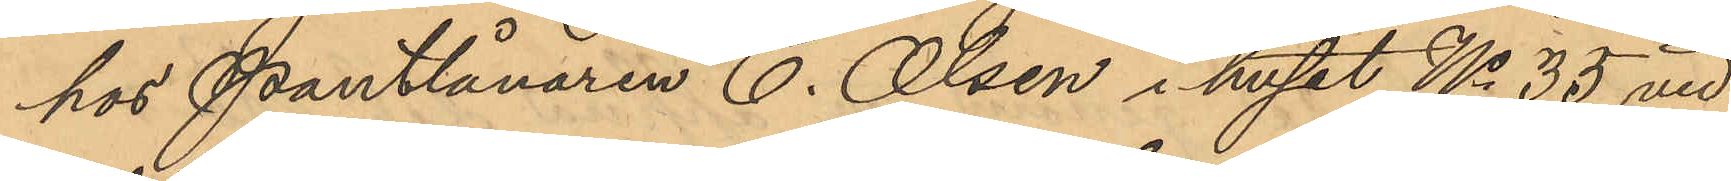hos Pantlånaren C. Olsen i huset No 35 vid
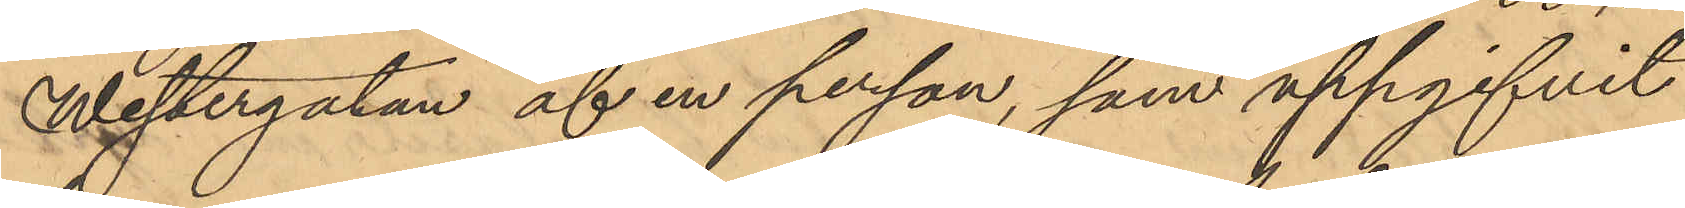Westergatan af en person, som uppgifvit
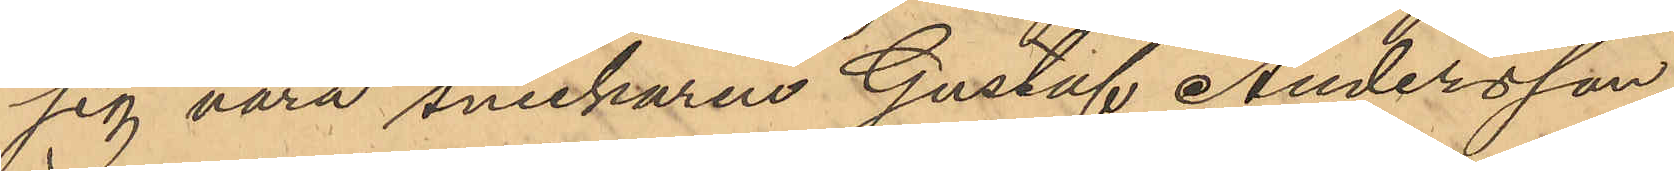sig vara snickaren Gustaf Andersson
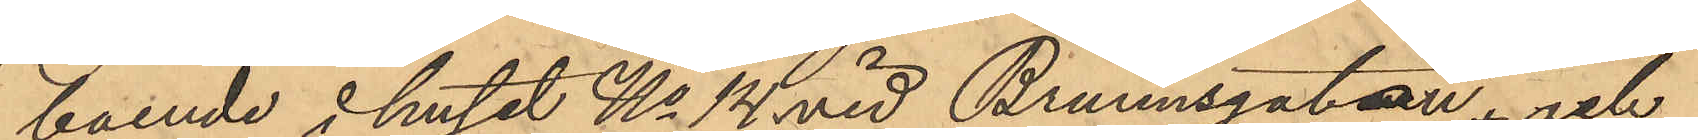boende i huset No 14 vid Brunnsgatan, och
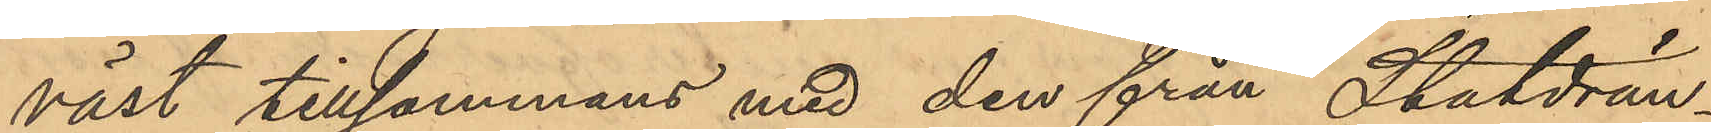väst tillsammans med den från Statdrän¬
